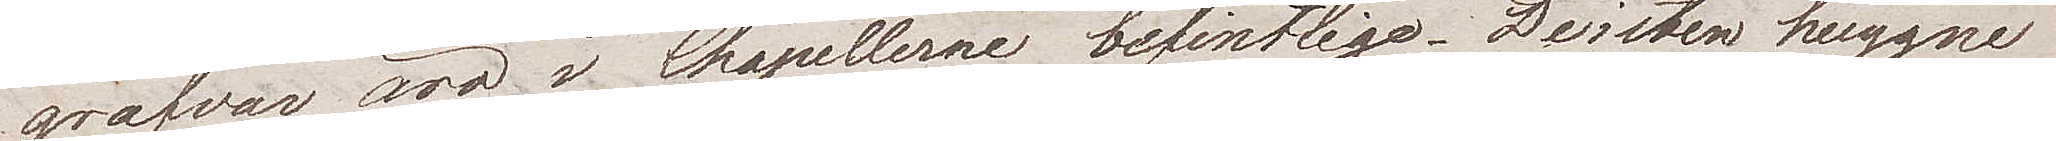grafvar äro i Chapellerne befintliga. De i sten huggne
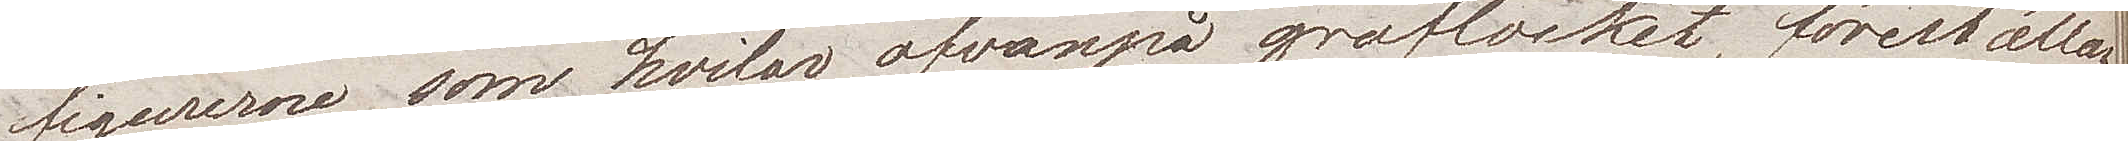figurerna som hvilar ofvanpå graflocket, föreställan¬
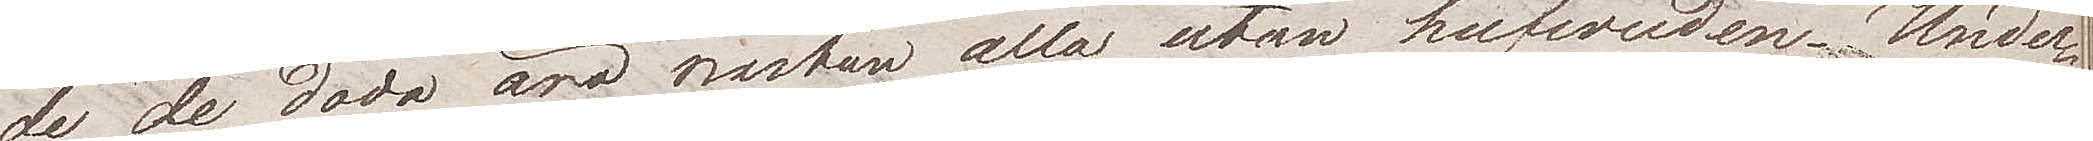de de döda äro nästan alla utan hufvuden. Under
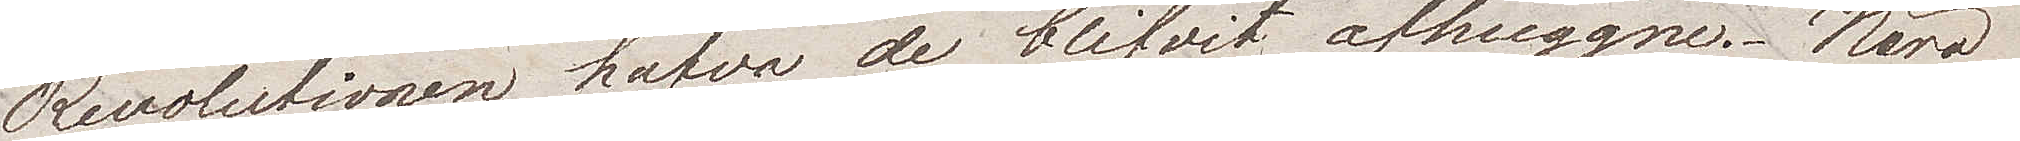Revolutionen hafva de blifvit avhuggna. Nära
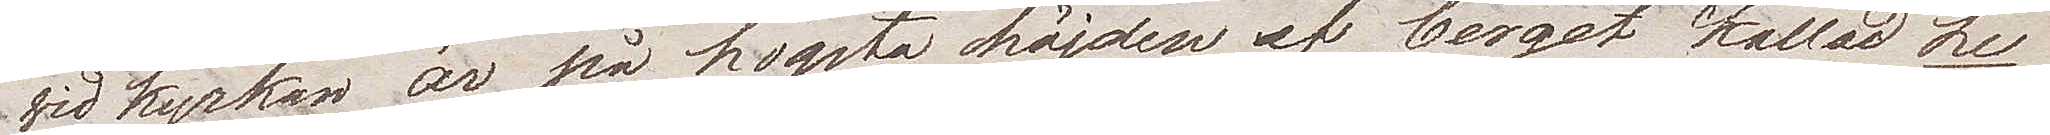vid kyrkan är på högsta höjden af berget kallat Le
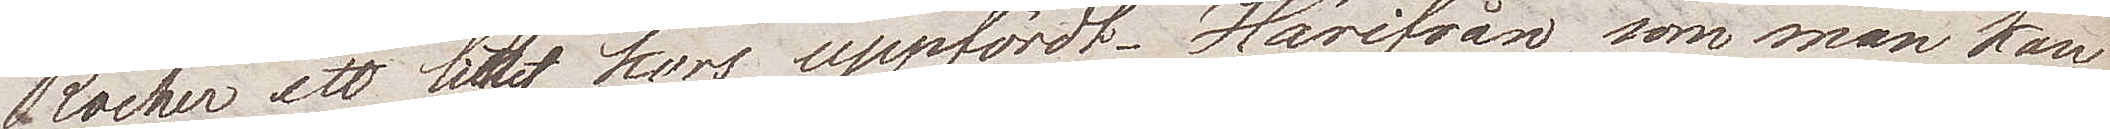Rocher ett litet kors uppfördt. Härifrån, som man kan
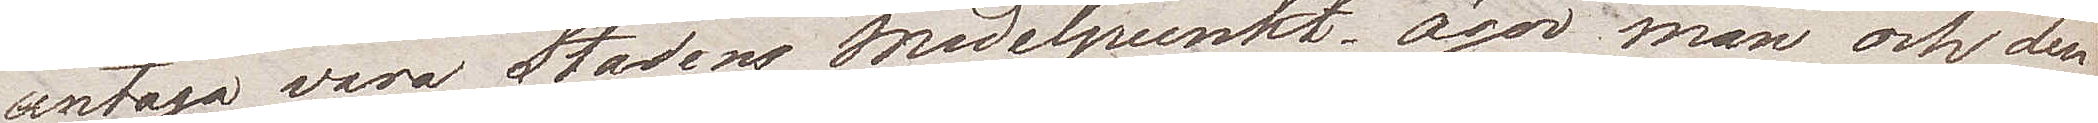antaga vara Stadens medelpunkt, äger man ock den 
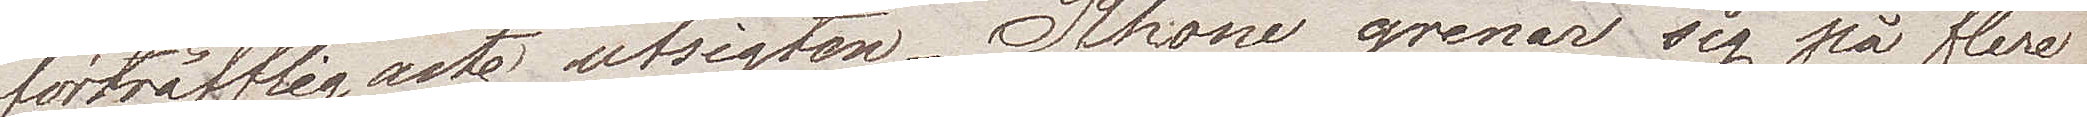förträffligaste utsigten. Rhone grenar sig på flera
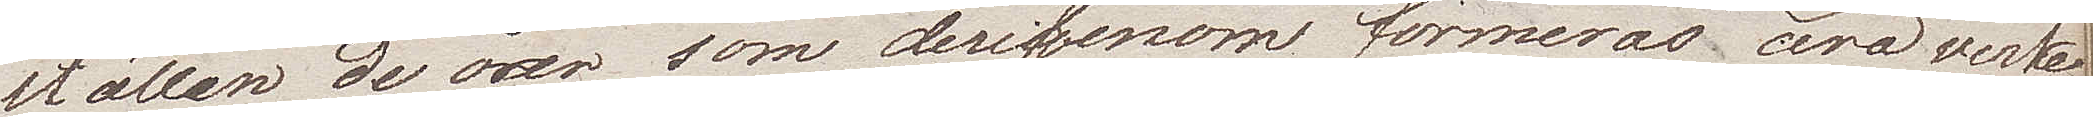ställen, de öar som derigenom formeras äro verke¬
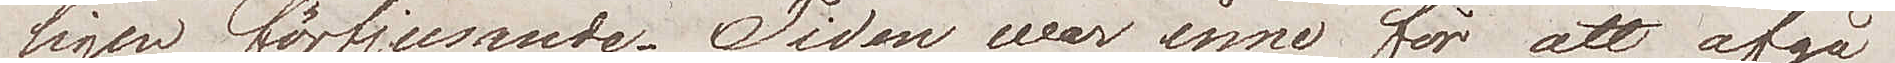ligen förtjusande. Tiden war inne för att afgå
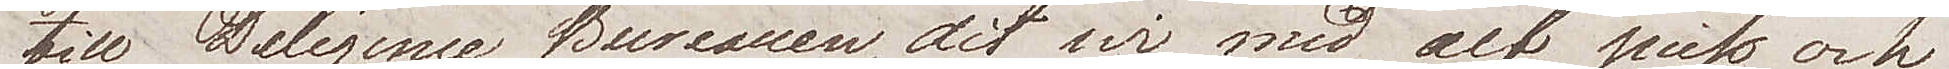till Diligence Bureauen, dit vi med alt pick och
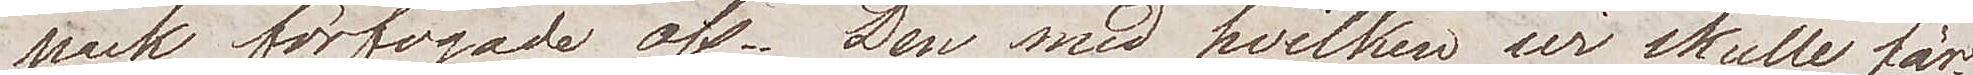pack förfogade oss. Den med hvilken vi skulle fär¬
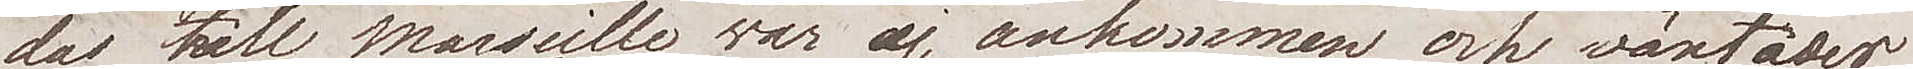das till Marseille var ej ankommen och väntades
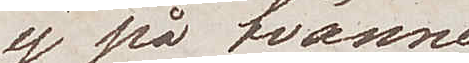ej på tvänne
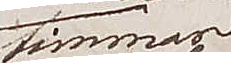timmar,
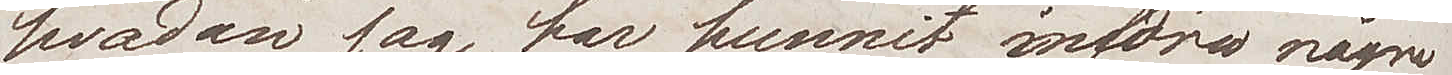hvadan jag har hunnit införa några
